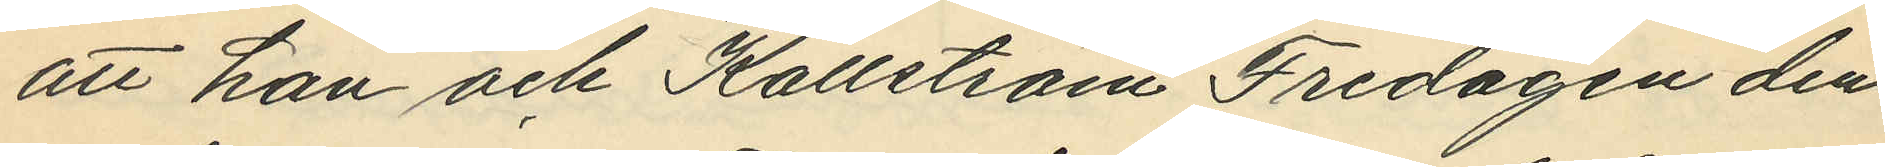att han och Källström Fredagen den
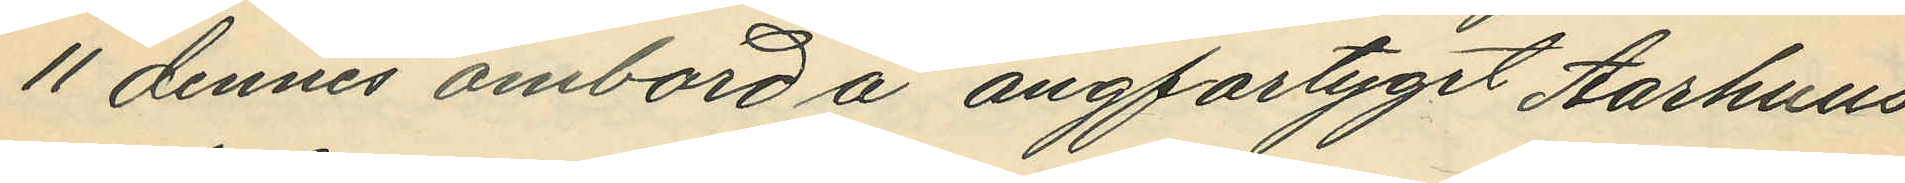11 dennes ombord å ångfartyget Aarhuus
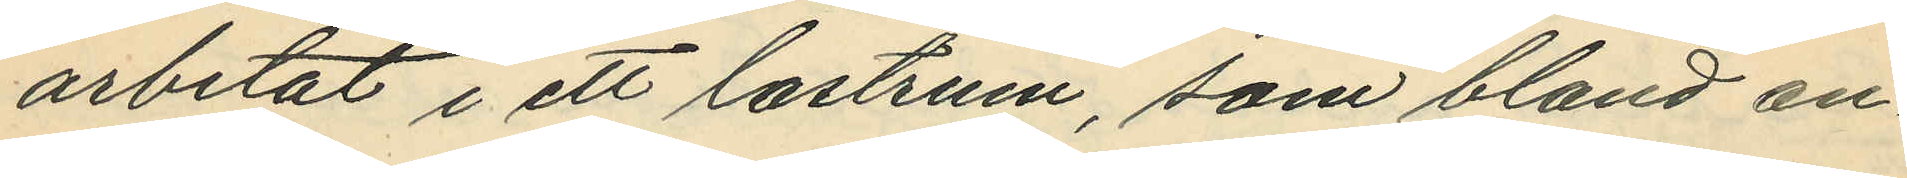arbetat i ett lastrum, som bland an¬
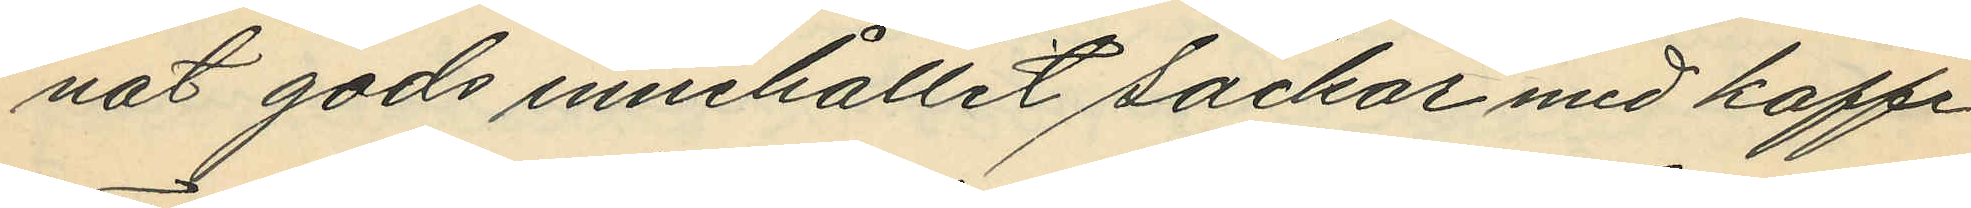nat gods innehållit säckar med kaffe
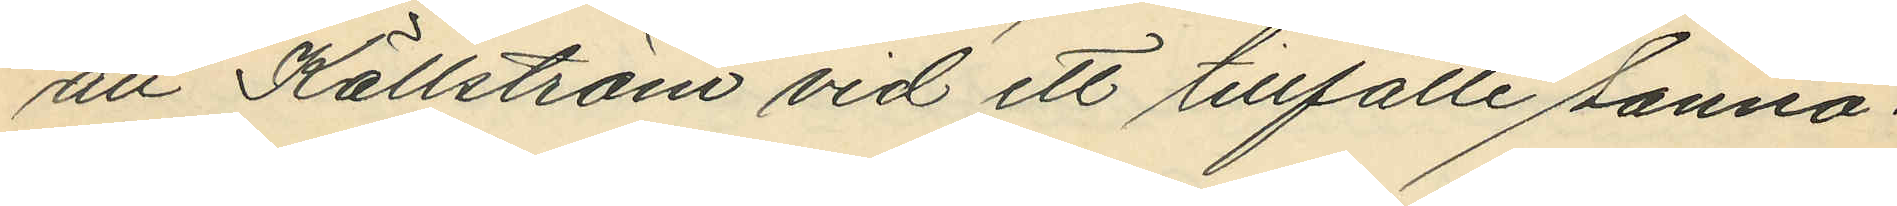att Källström vid ett tillfälle sanno¬
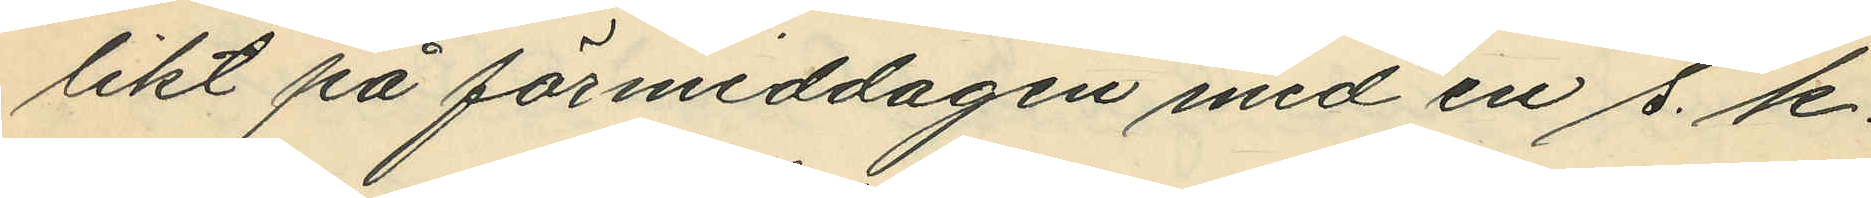likt på förmiddagen med en s. k.
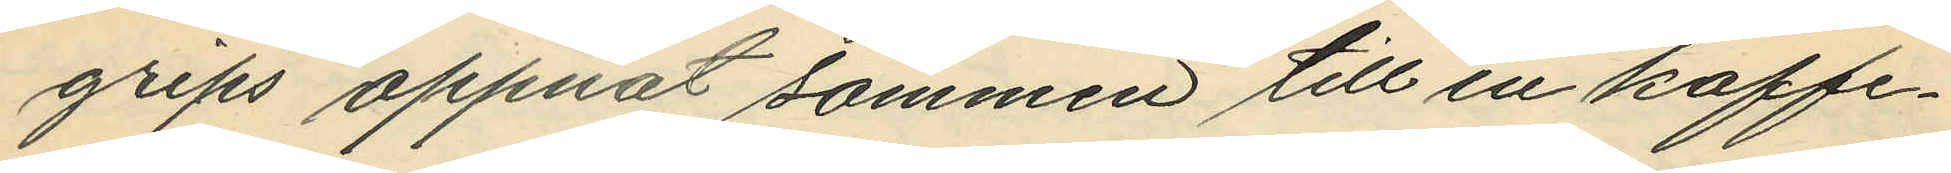grips oppnat sömmen till en kaffe¬
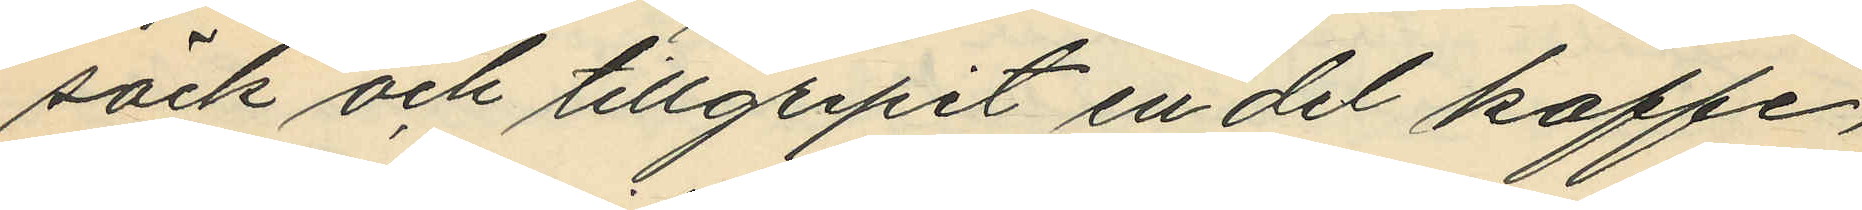säck och tillgripit en del kaffe,
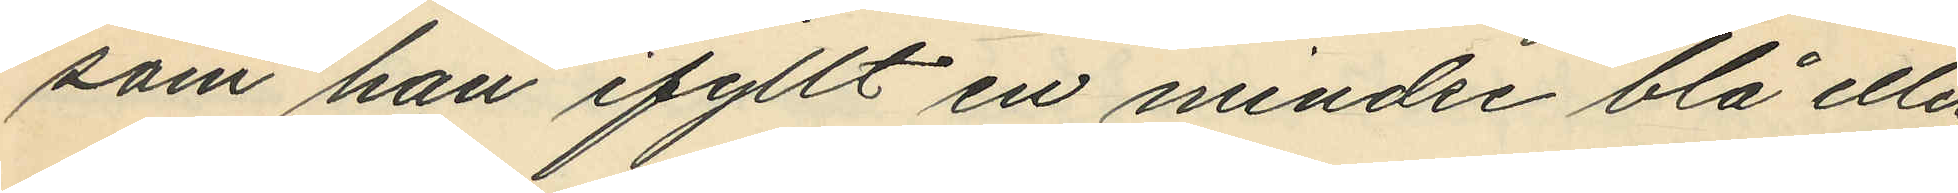som han ifyllt en mindre blå eller
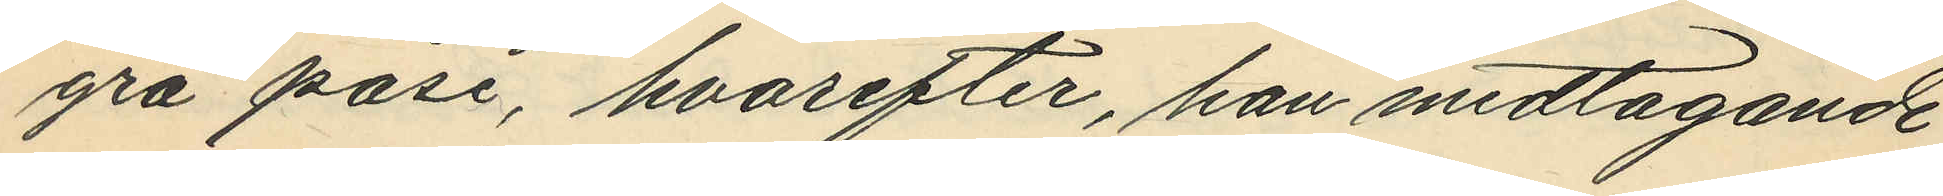grå påse, hvarefter, han medtagande
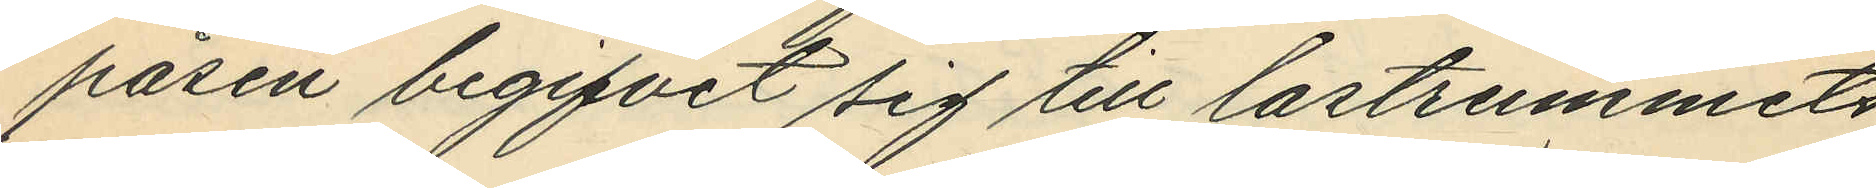påsen begifvit sig till lastrummets
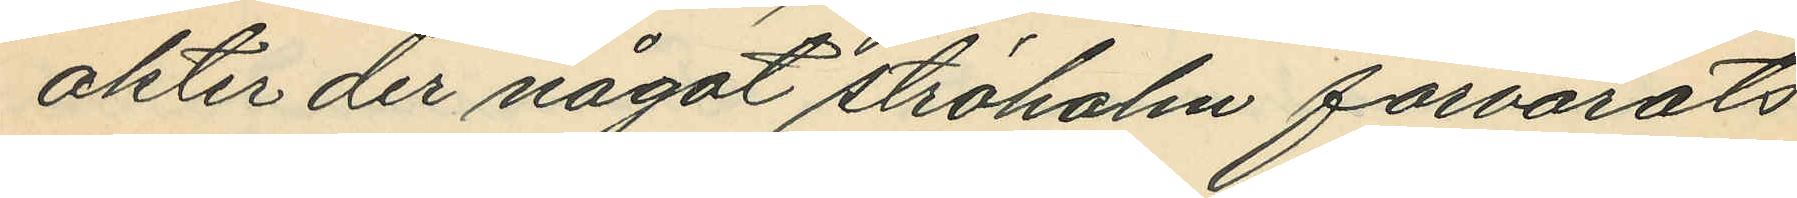akter der något ströhalm förvarats
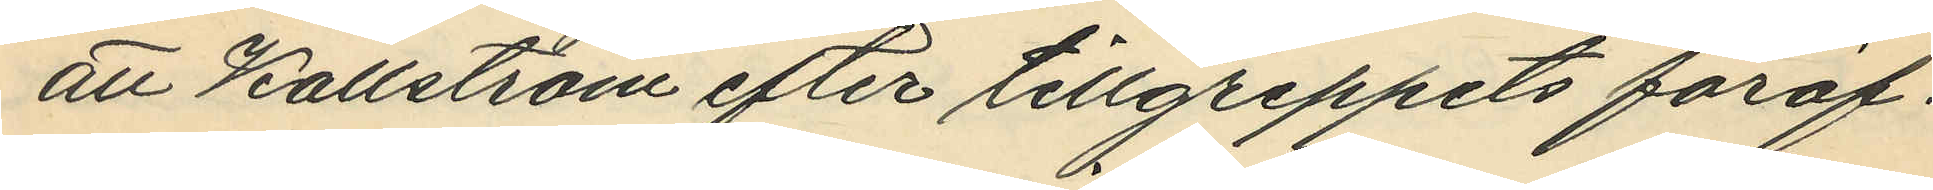att Källström efter tillgreppets föröf¬
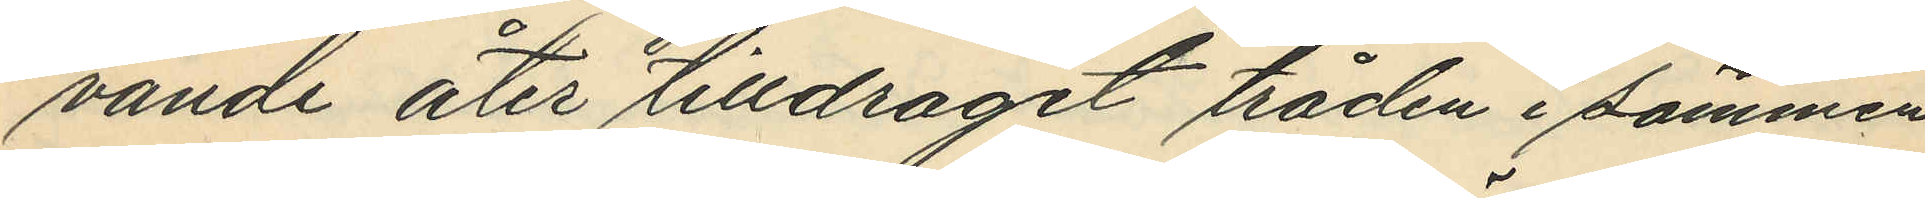vande åter tilldragit tråden i sömmen
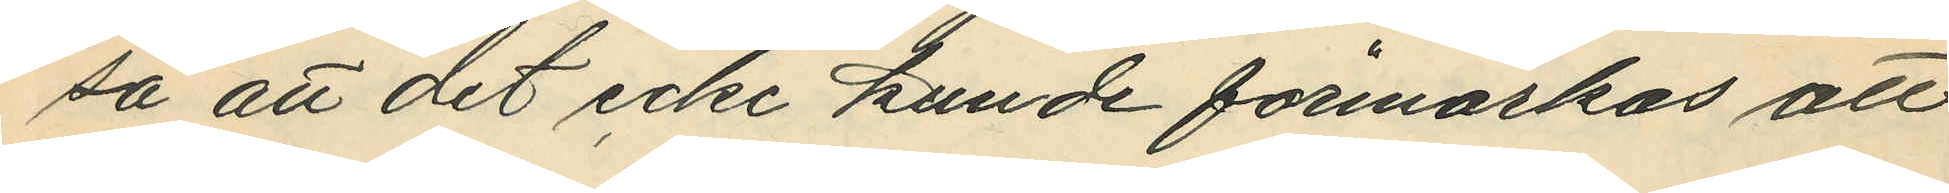så att det icke kunde förmärkas att
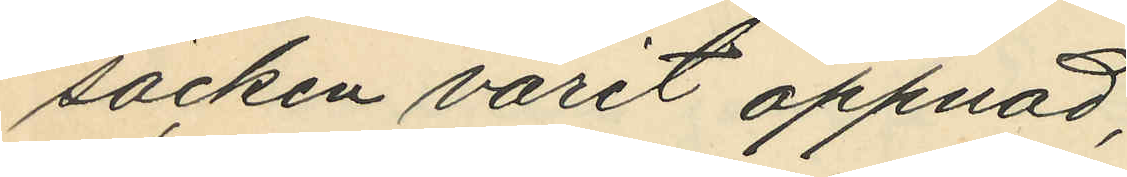säcken varit öppnad;
